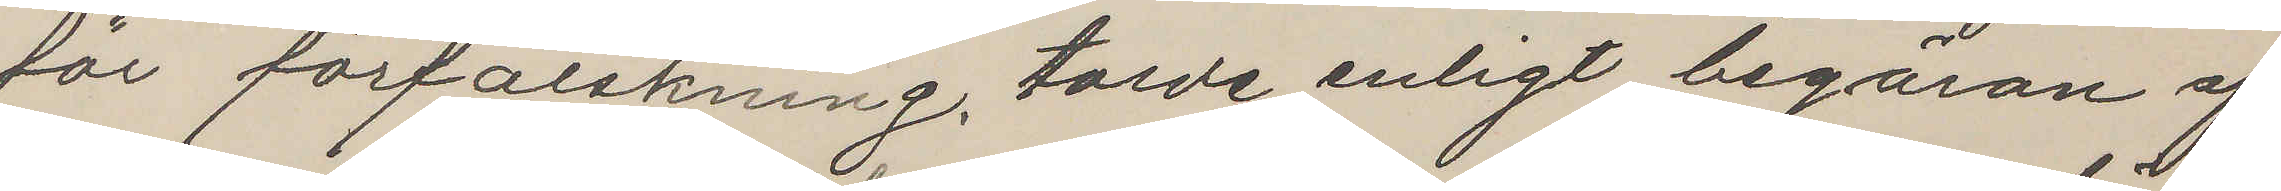för förfalskning, torde enligt begäran af
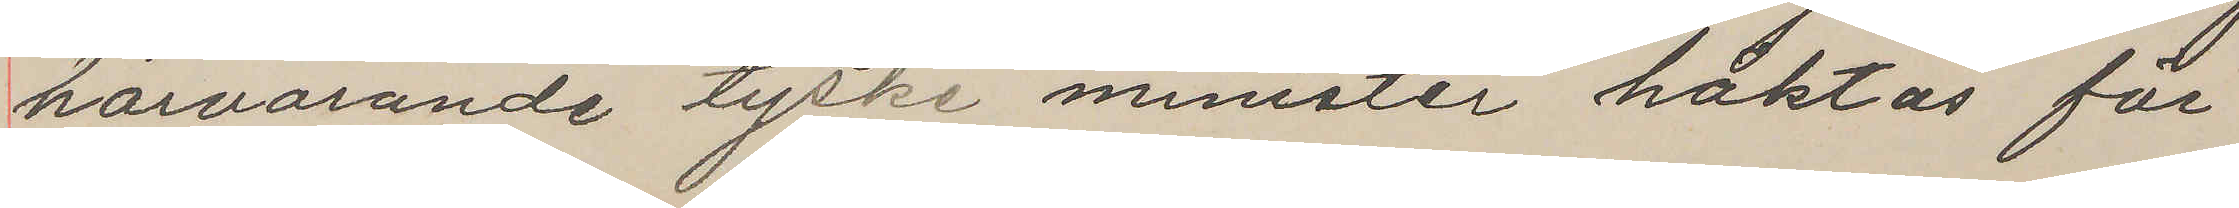härvarande tyske mimister häktas för
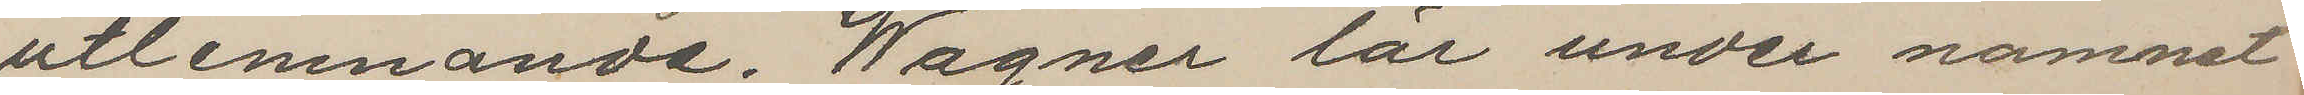utlemnande. Wagner lär under namnet
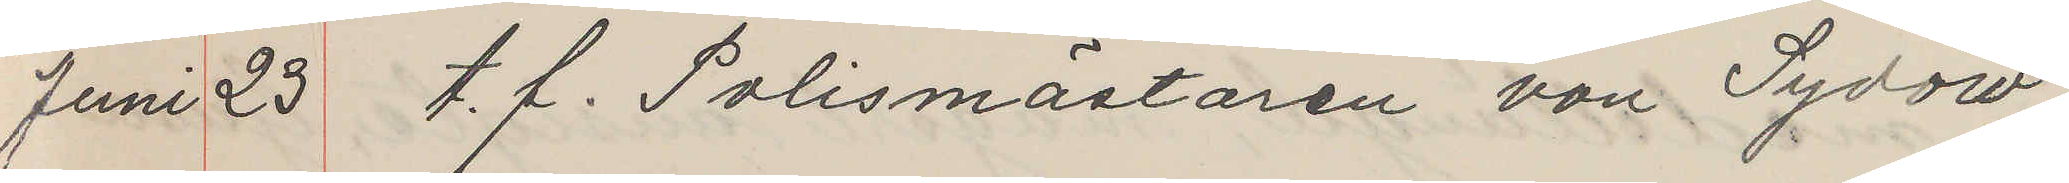Juni 25 t. f. Polismästaren von Sydow
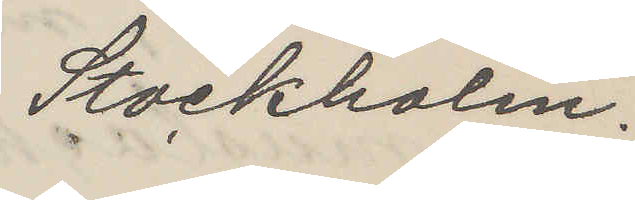Stockholm.
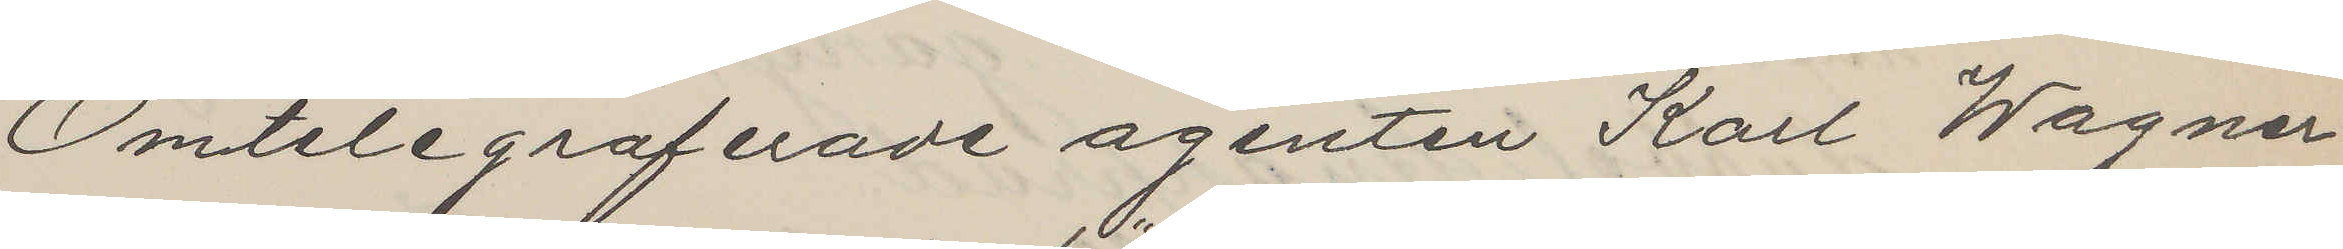Omtelegraferade agenten Karl Wagner
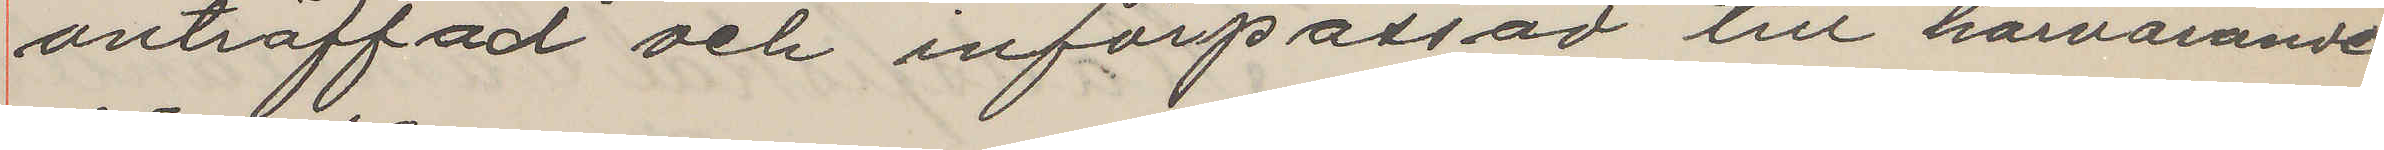anträffad och införpassad till härvarande
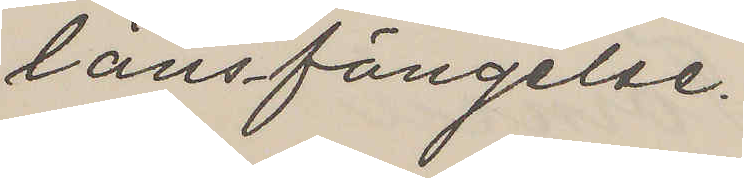länsfängelse.
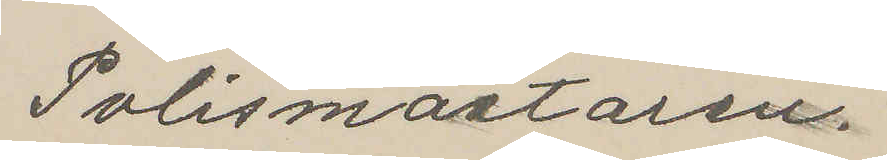Polismästaren
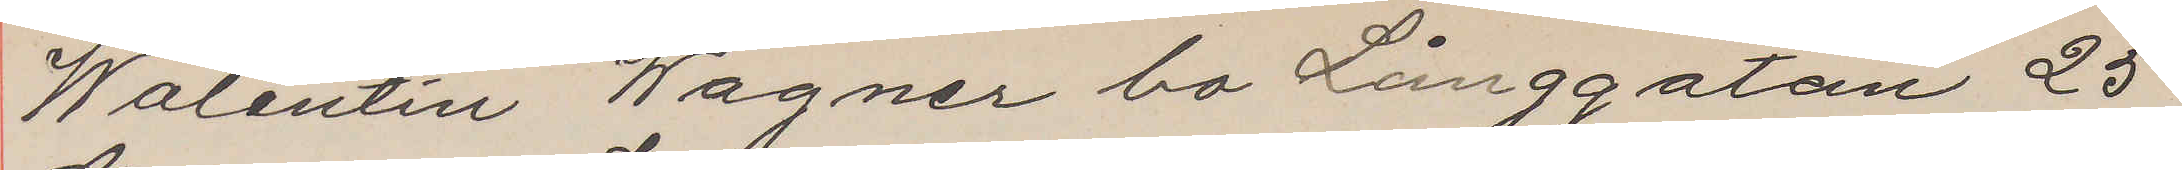Walentin Wagner bo Långgatan 25
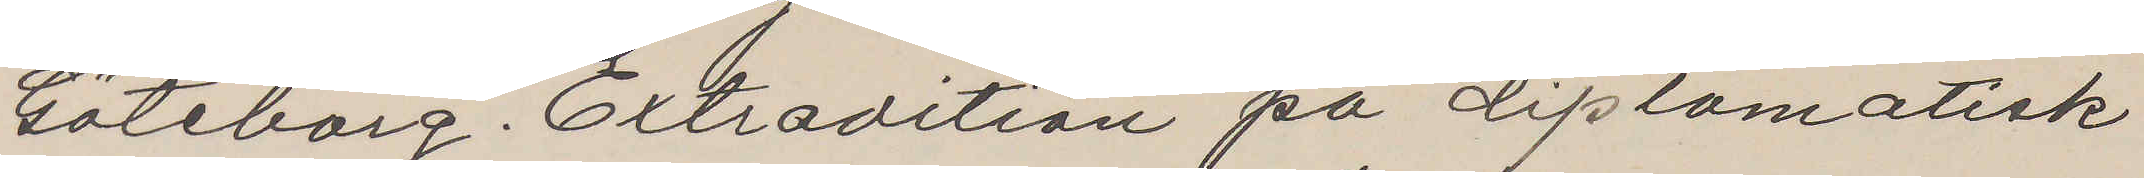Göteborg. Extradition på diplomatisk
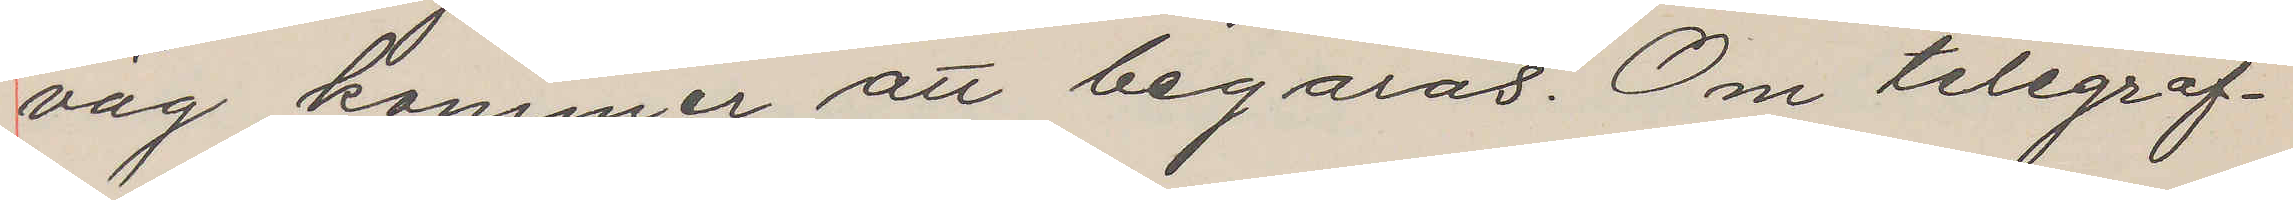väg kommer att begäras. Om telegraf¬
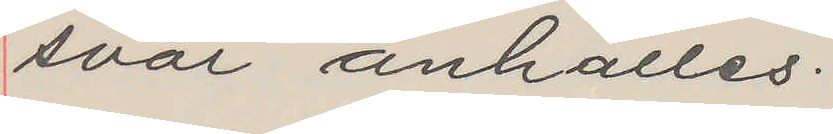svar anhålles.
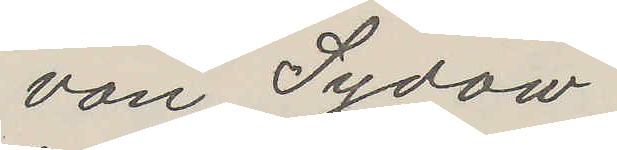von Sydow
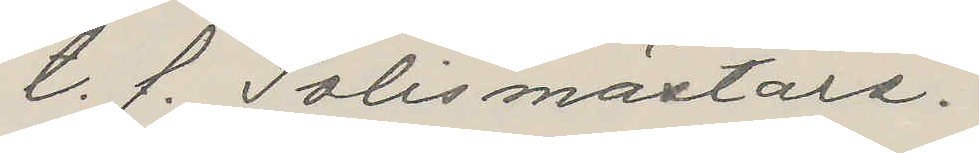t. f. Polismästare.
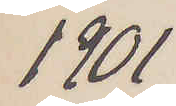1901
